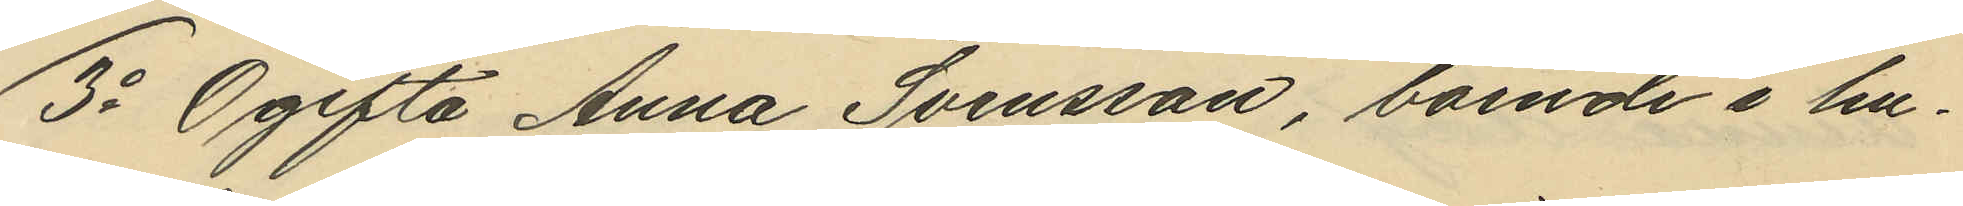3o Ogifta Anna Svensson, boende i hu¬
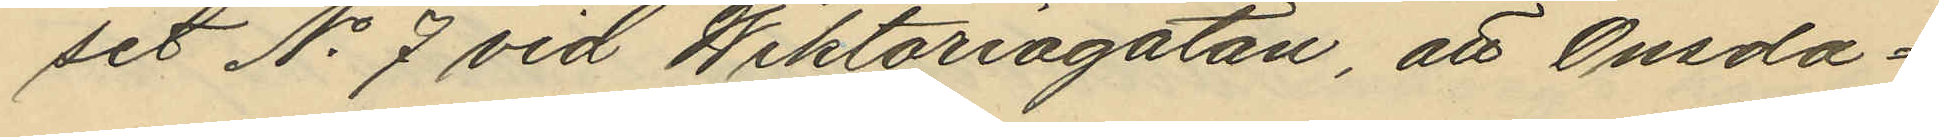set No 7 vid Wiktoriagatan, att Onsda¬
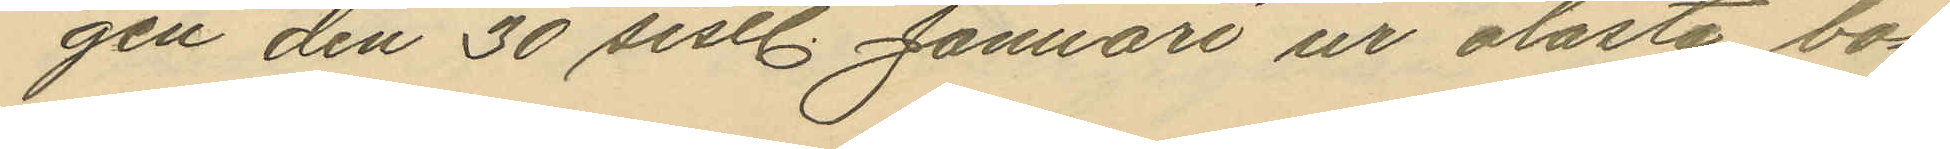gen den 30 sistl. Januari ur olåsta bo¬
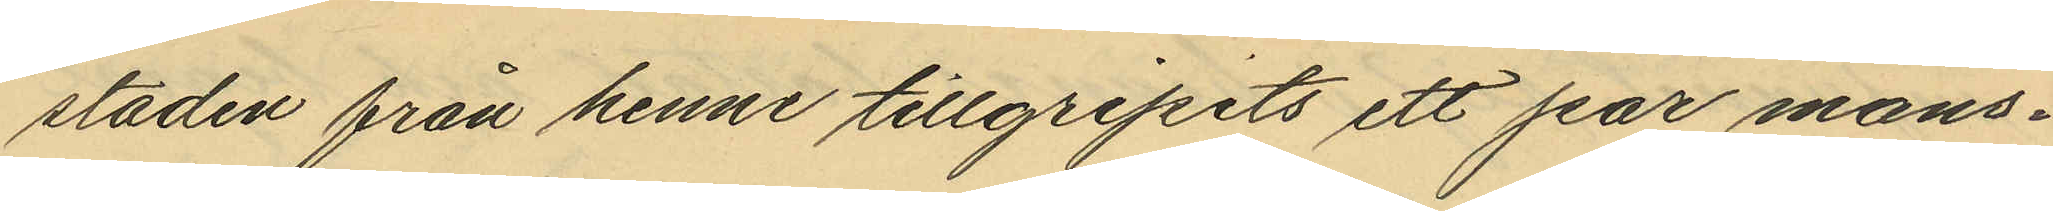staden från henne tillgripits ett par mans¬
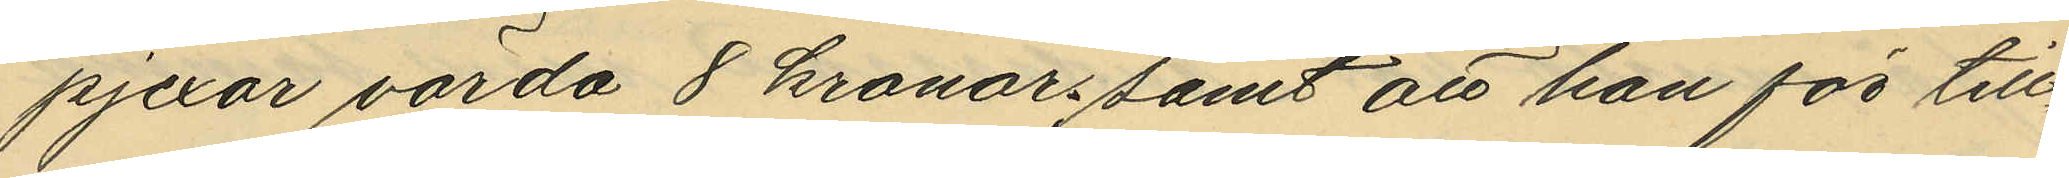pjexor värda 8 kronor samt att hon för till¬
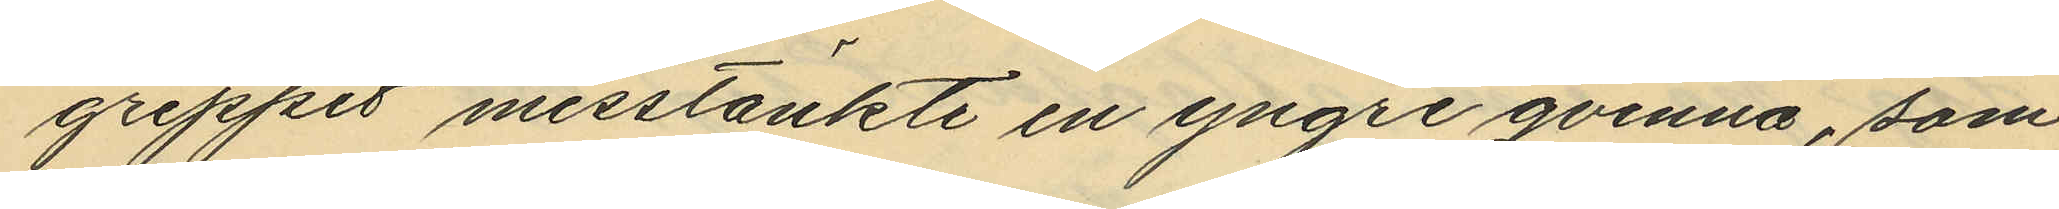greppet misstänkte en yngre qvinna, som
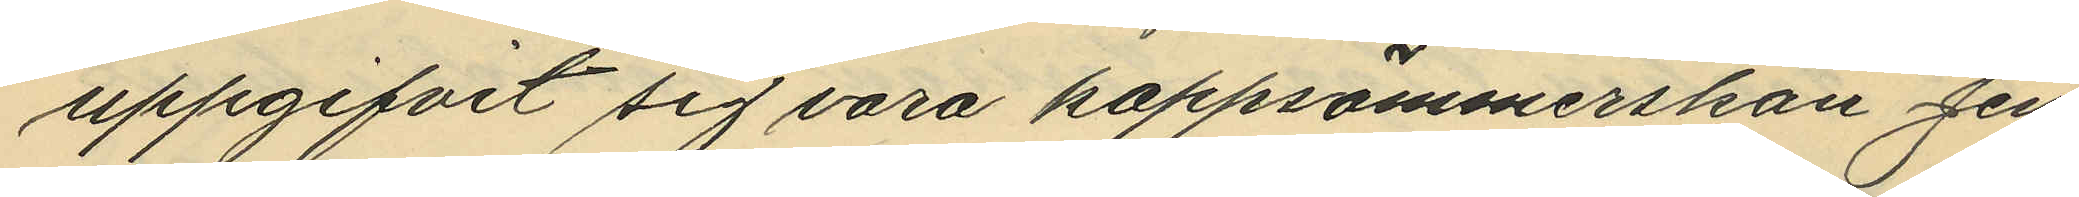uppgifvit sig vara kappsömmerskan Jen¬
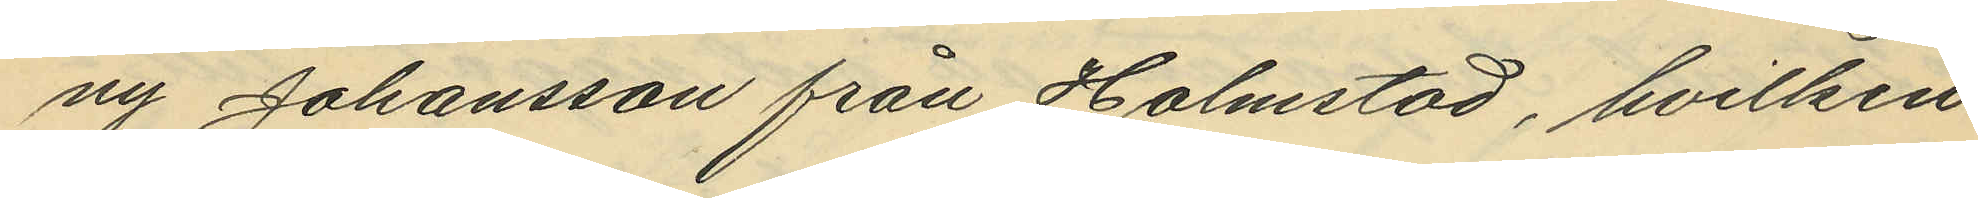ny Johansson från Halmstad, hvilken
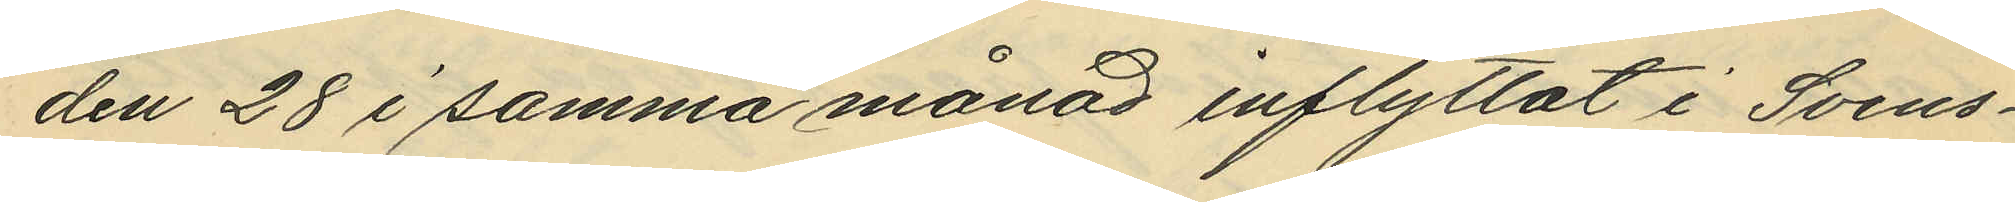den 28 i samma månad inflyttat i Svens¬
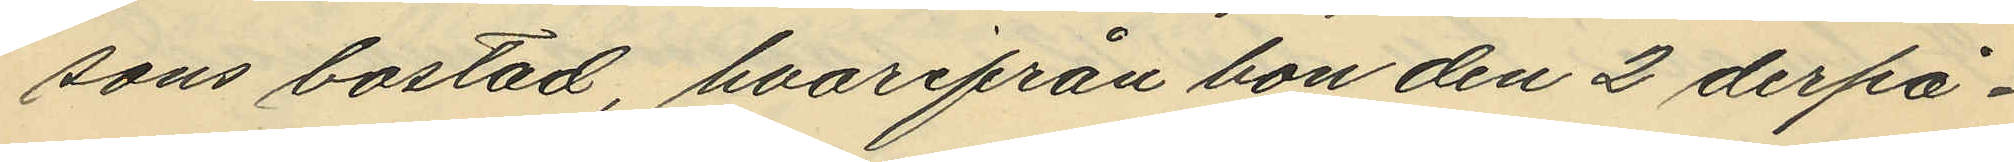sons bostad, hvarifrån bon den 2 derpå¬
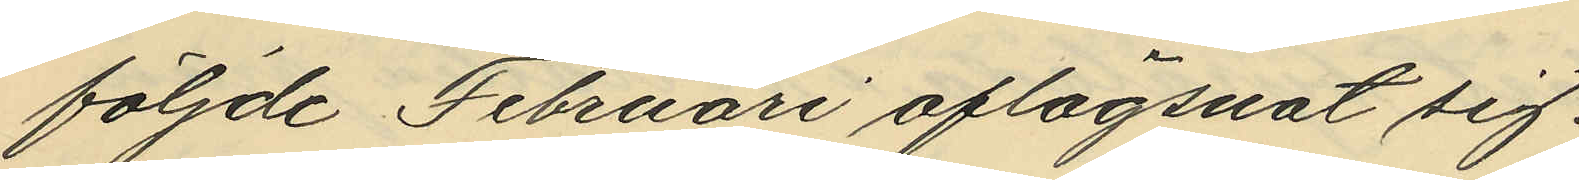följde Februari aflägsnat sig.
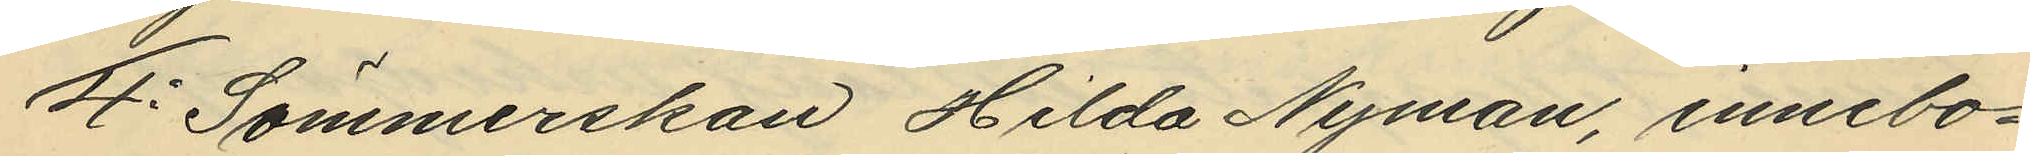4o Sömmerskan Hilda Nyman, innebo¬
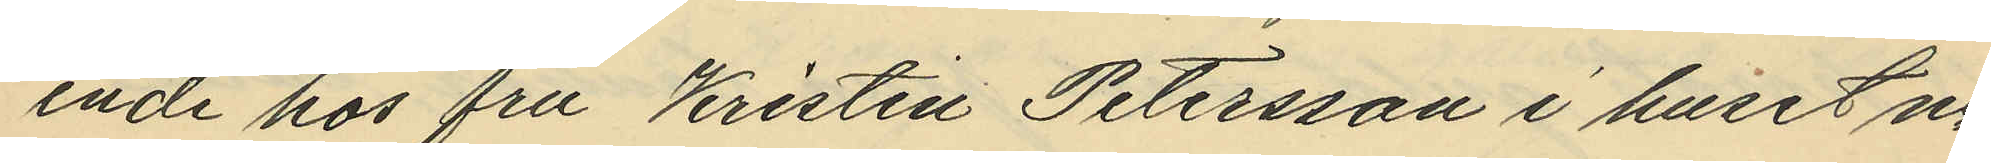ende hos fru Kristin Petersson i huset no
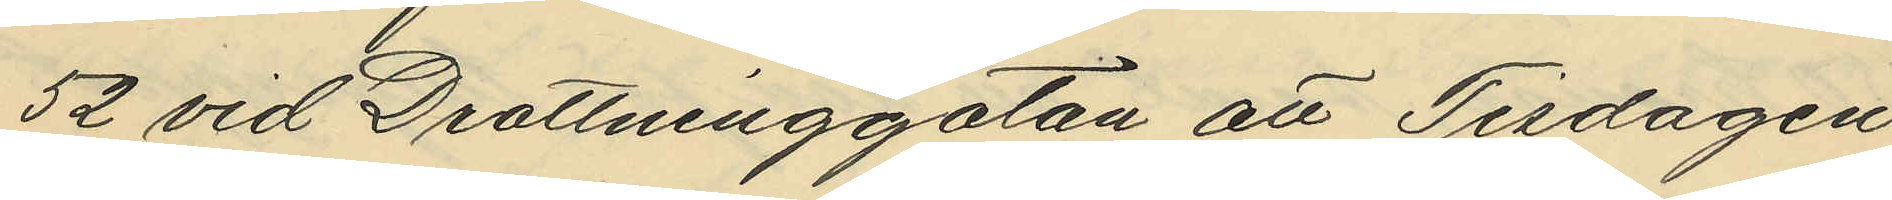52 vid Drottninggatan att Tisdagen
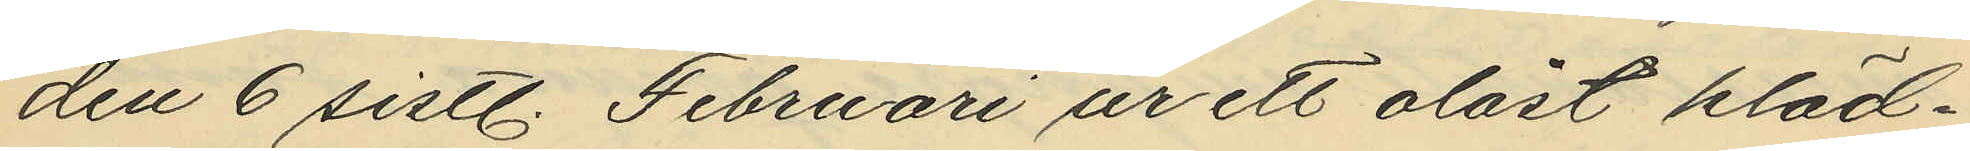den 6 sistl. Februari ur ett olåst kläd¬
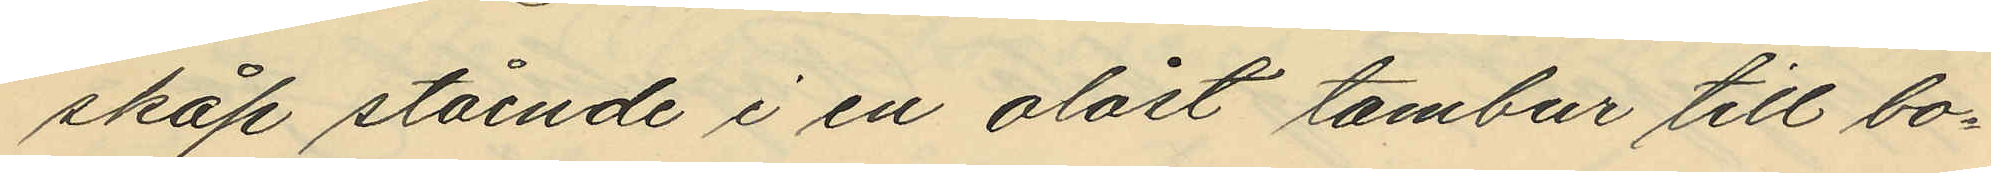skåp stående i en olåst tambur till bo¬
